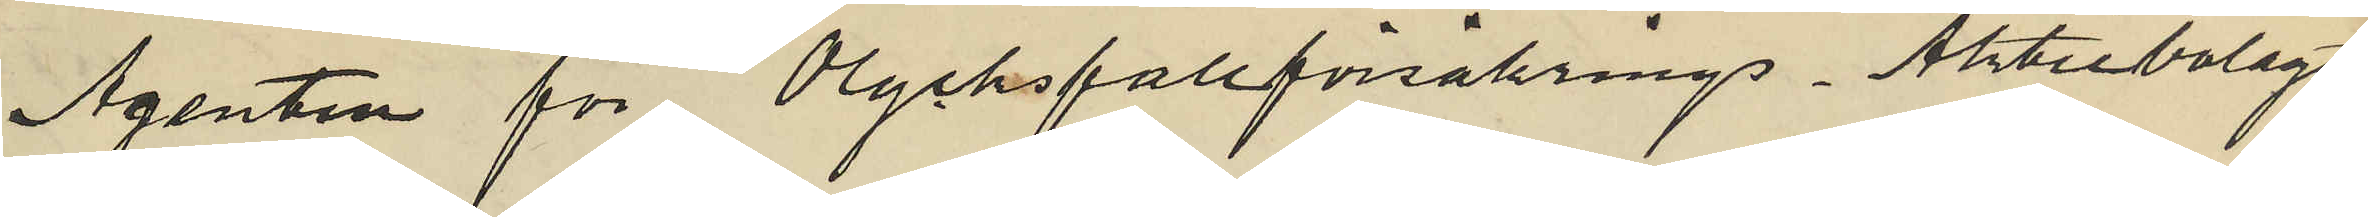Agenten för Olycksfallförsäkrings Aktiebolaget
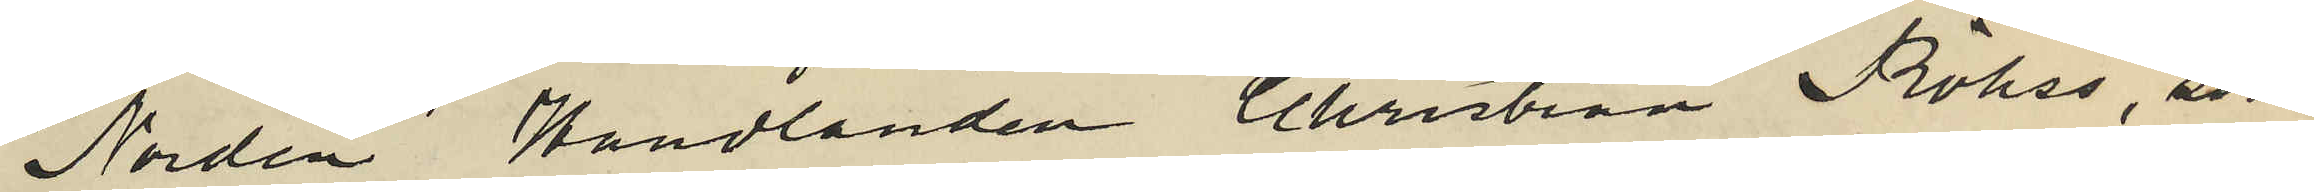"Norden" Handlanden Christian Röhss, som
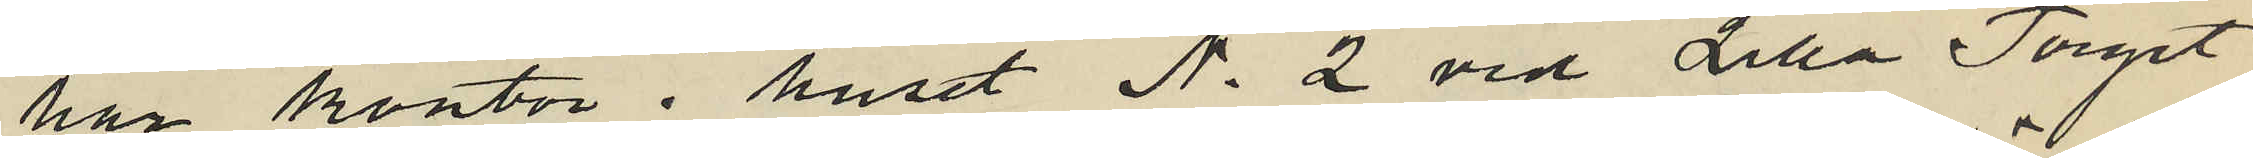har kontor i huset No 2 vid Lilla Torget
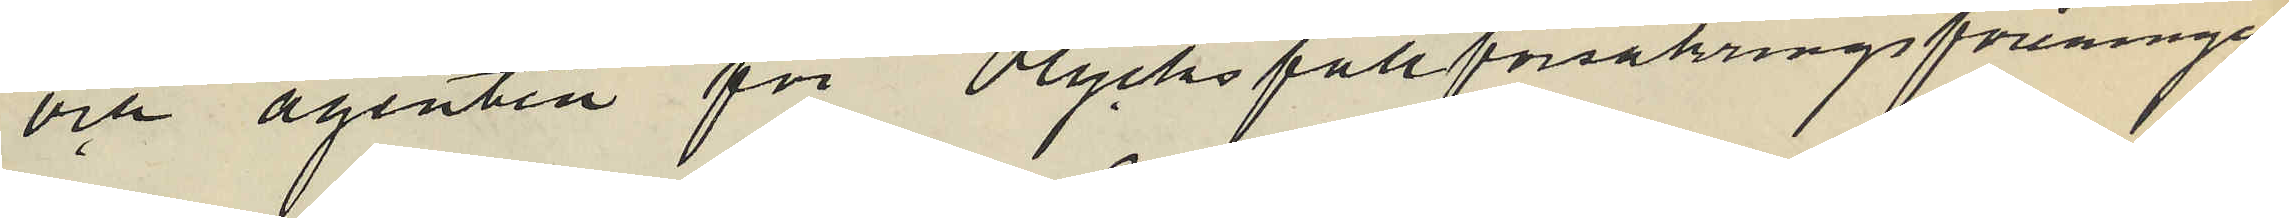och agenten för Olycksfallförsäkringsföreningen
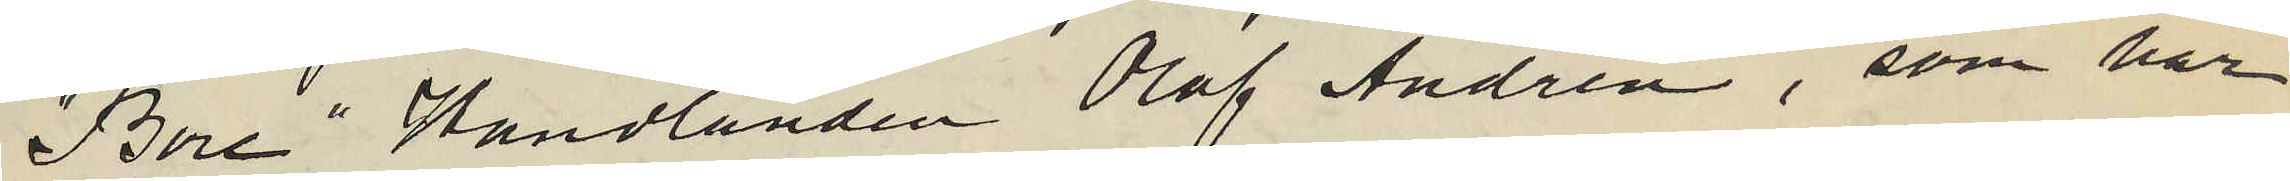"Bore" Handlanden Olof Andrén, som har
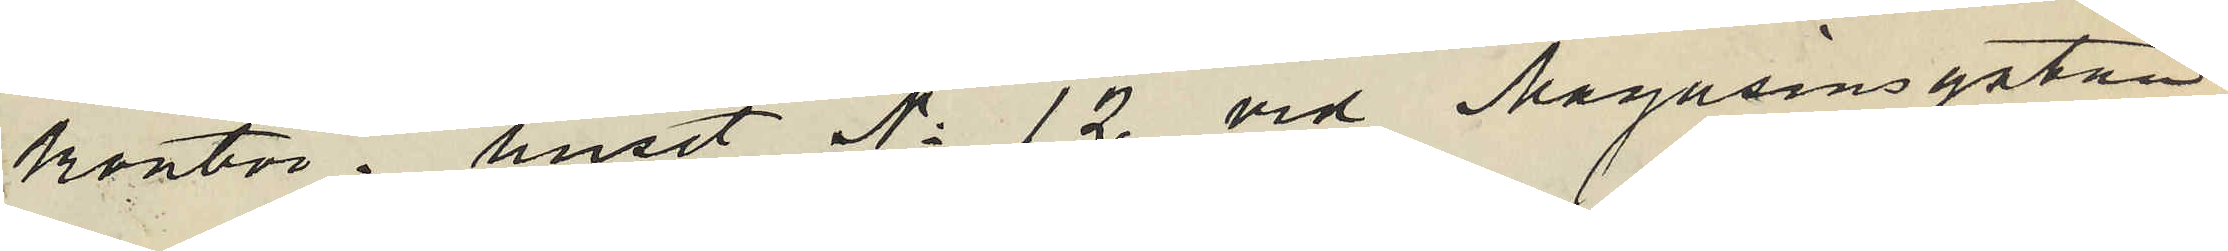kontor i huset No 12 vid Magasinsgatan
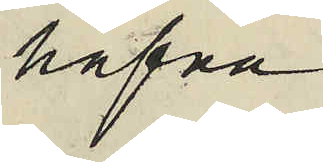hafva
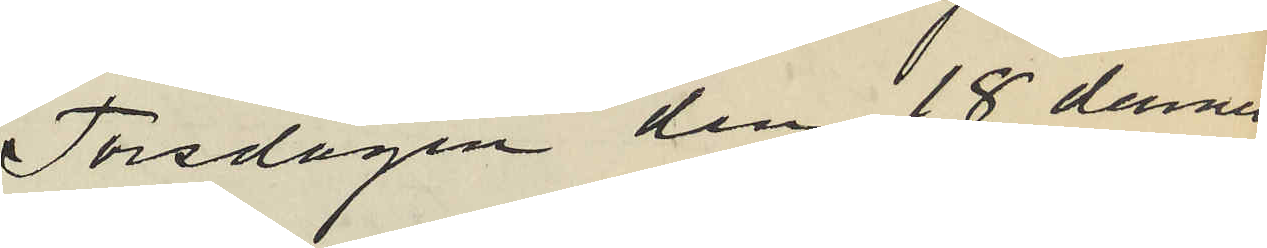Torsdagen den 18 dennes
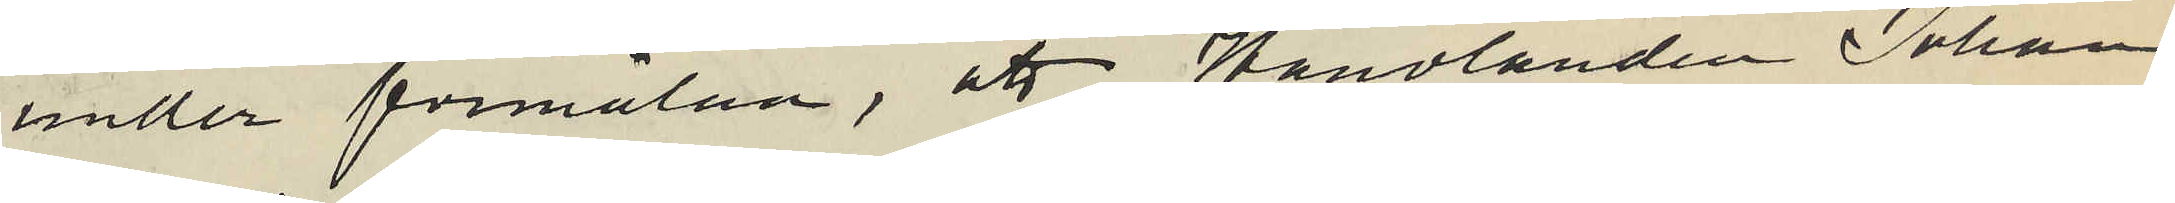under förmälan, att Handlanden Johan
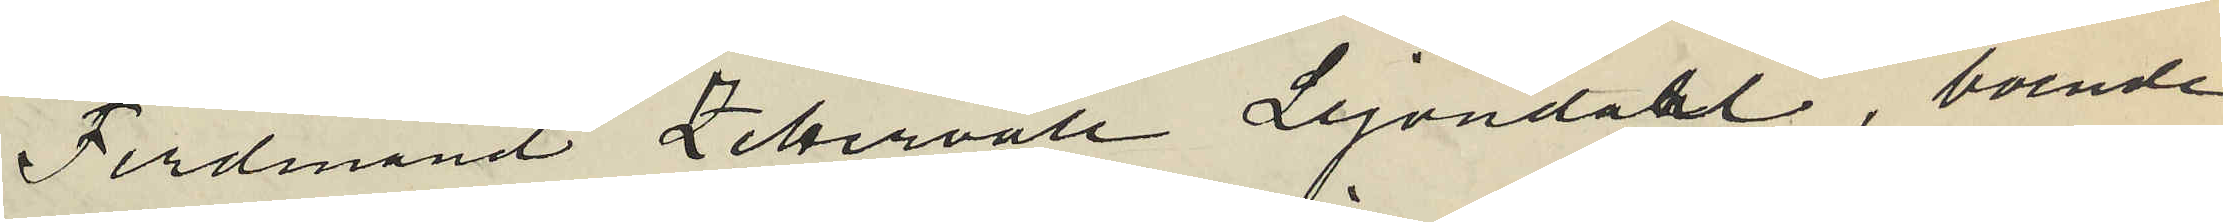Ferdinand Zettervall Lejondahl, boende
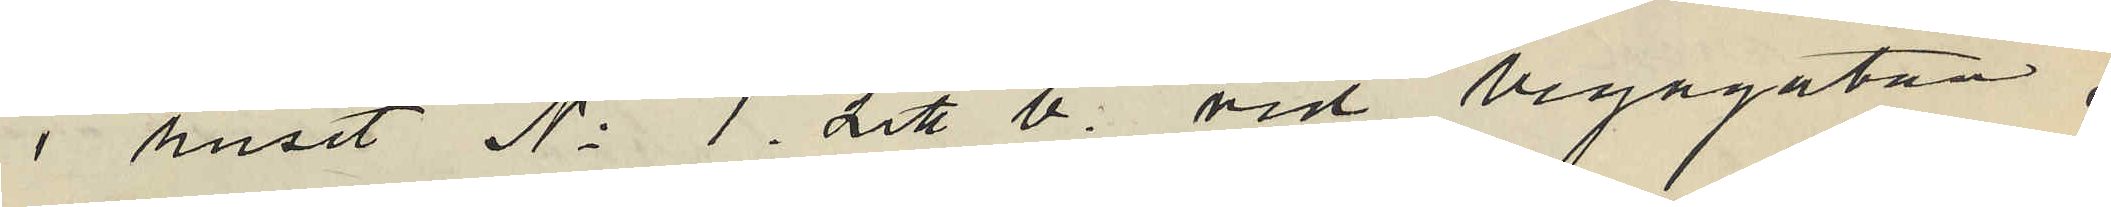i huset No 1. Litt b. vid Vegagatan,
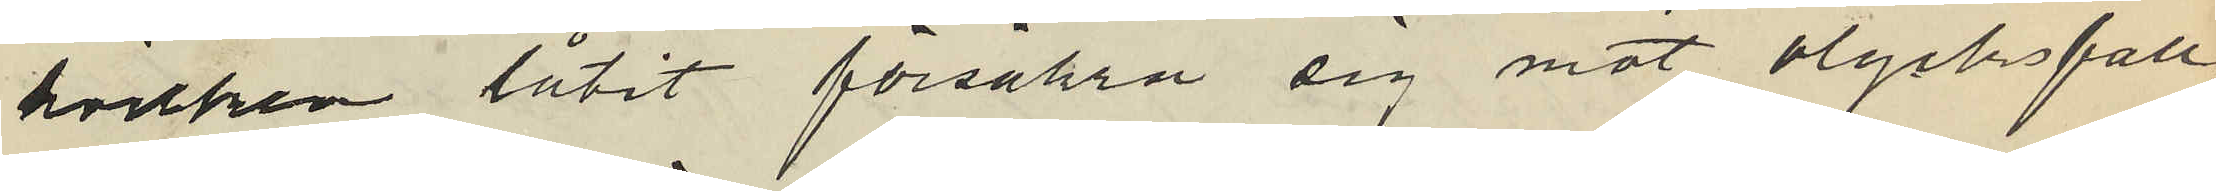hvilken låtit försäkra sig mot olycksfall,
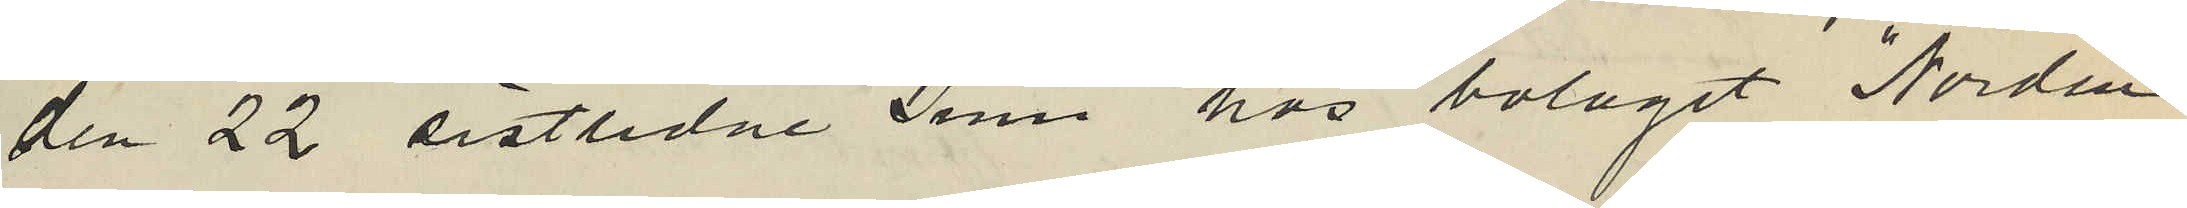den 22 sistlidne Juni hos bolaget "Norden"
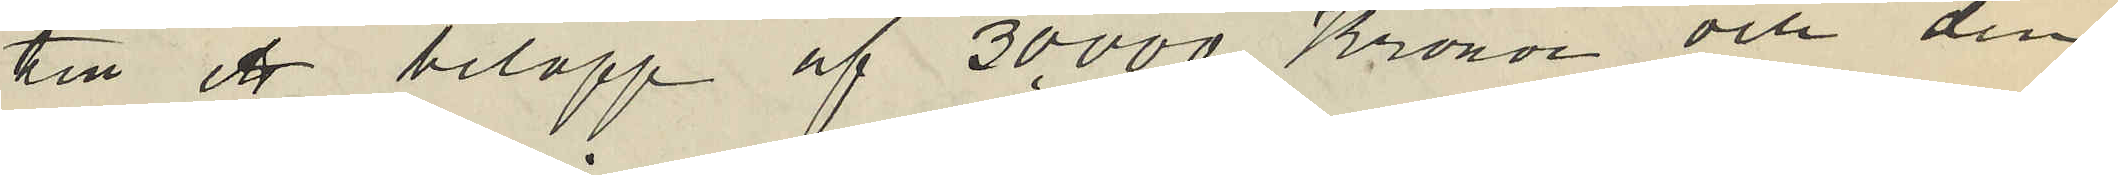till ett belopp af 30.000 Kronor och den
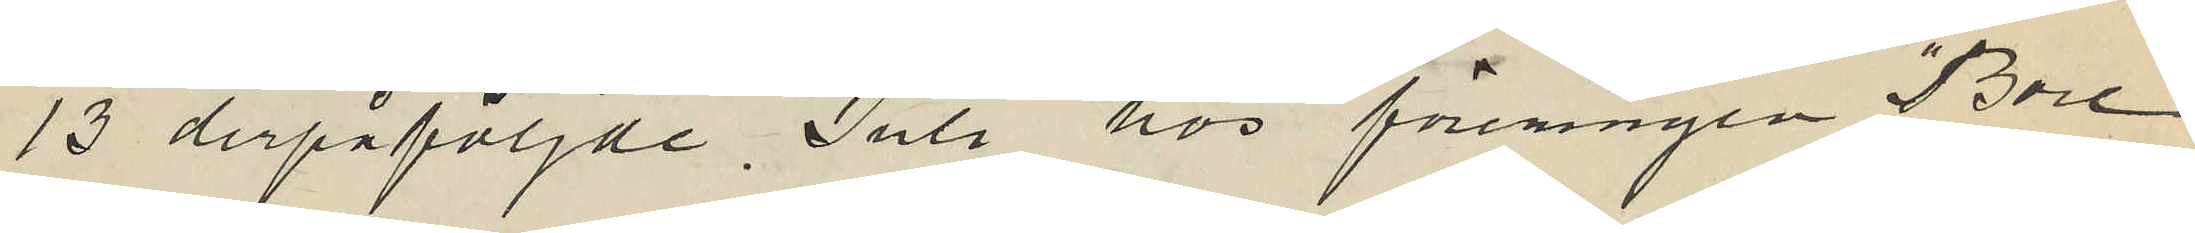13 derpåföljde Juli hos föreningen "Bore"
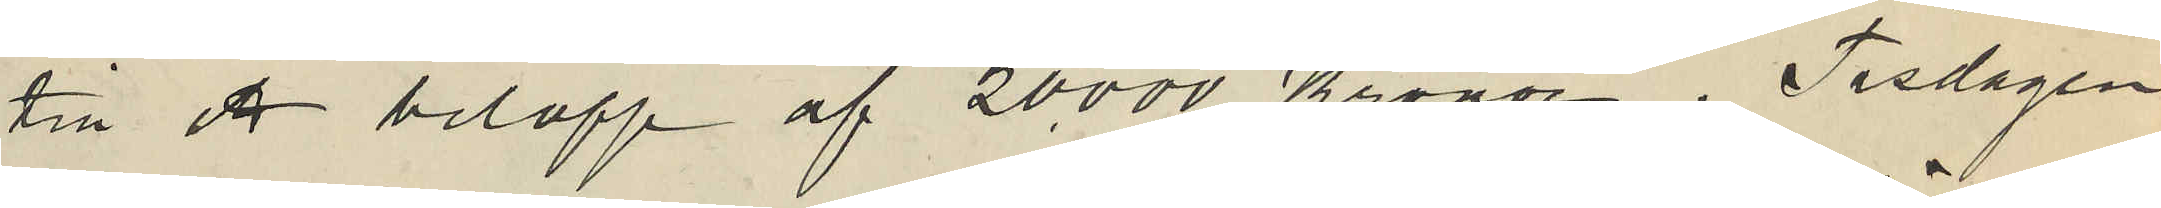till ett belopp af 20.000 Kronor, Tisdagen
